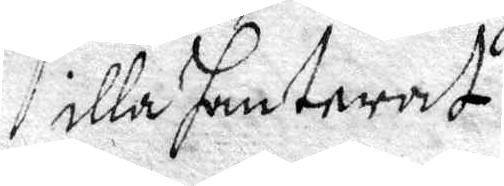illa hanterat.
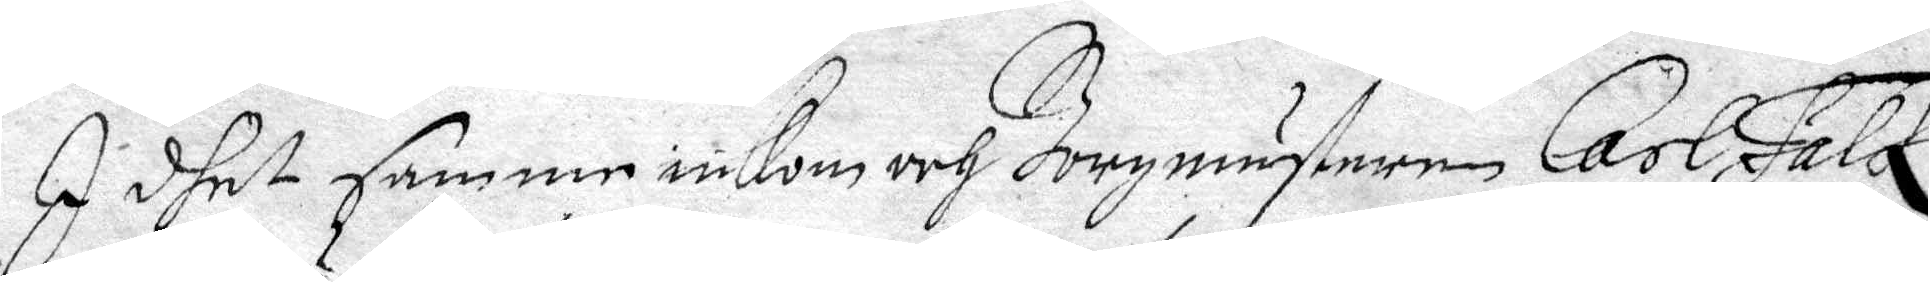I dhet samme inkom och Borgmästaren Carl Falck
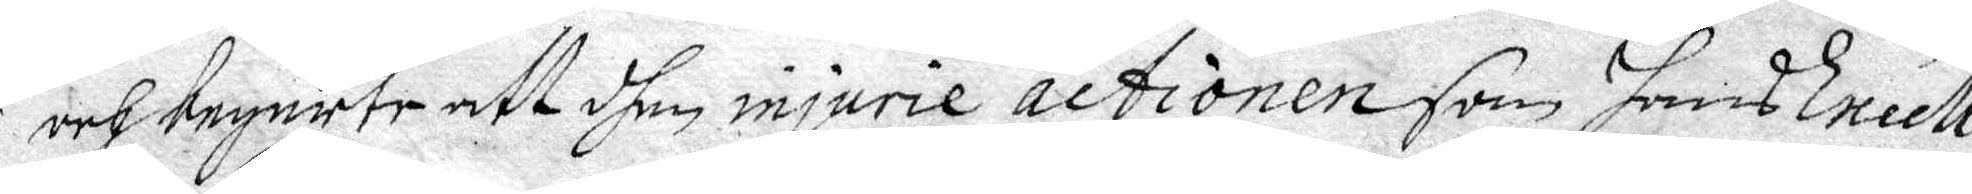och begärte att dhen injurie actionen som hans Excell.
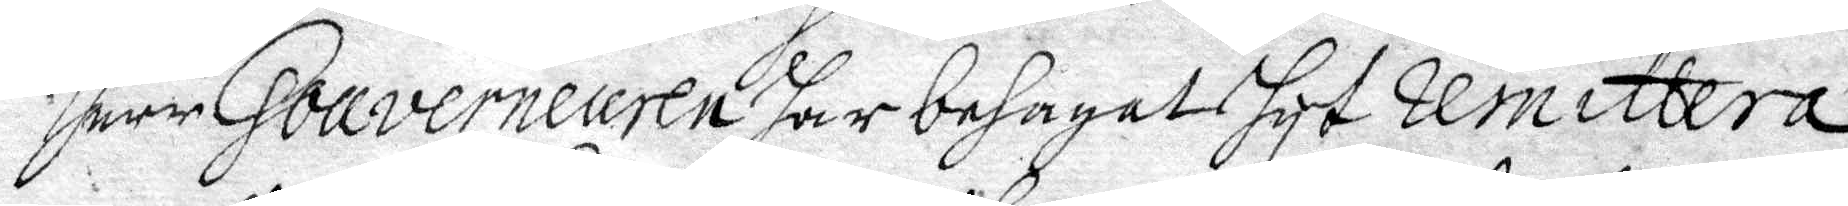herr Gouverneuren har behagat hyt remittera
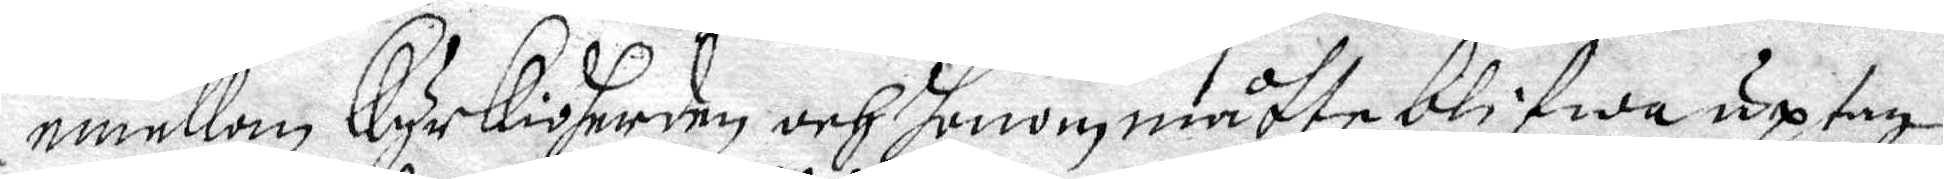emellan Kyrkioherden och honom måtte blifwa uptagen
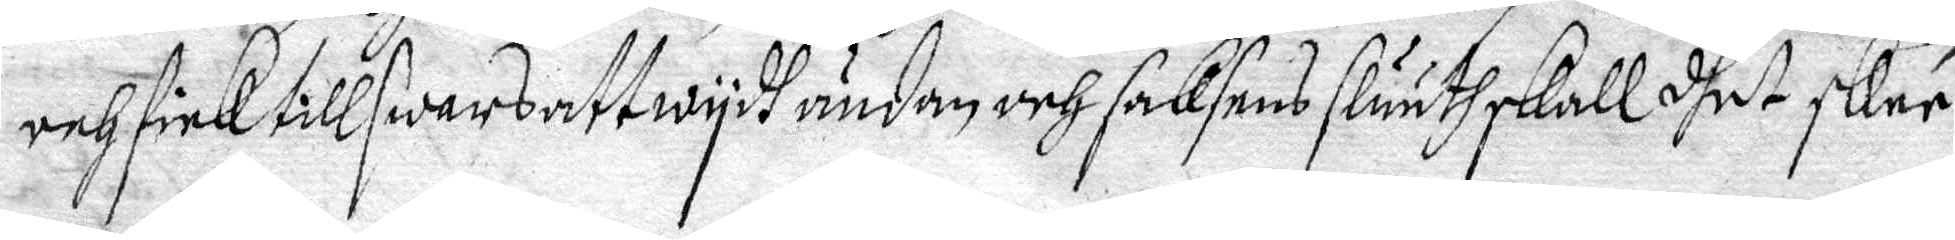och fick till swars att wydh ändan och sakens sluuth skall dhet skee.
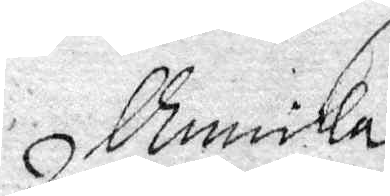Annika
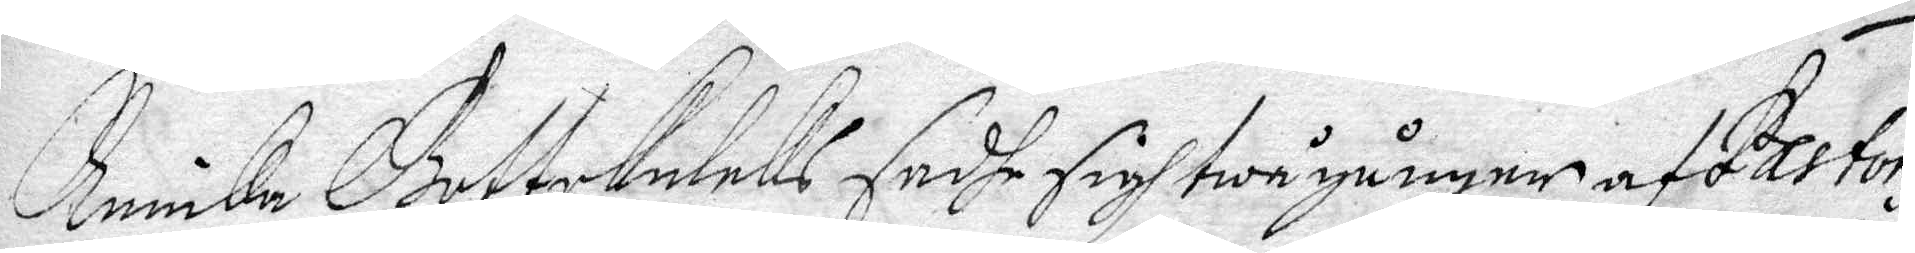Annika Gottskalcks sadhe sigh twå gånger af Pastoris
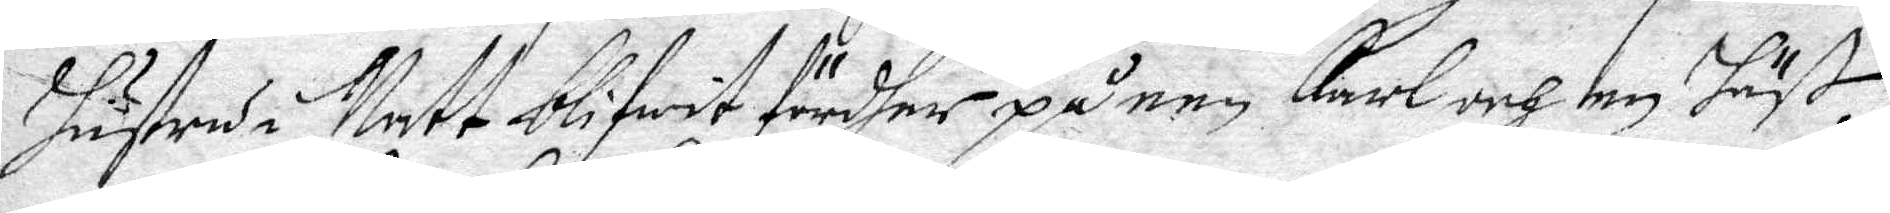hsutru i Natt blifwit fördher på een Karl och en Häst.
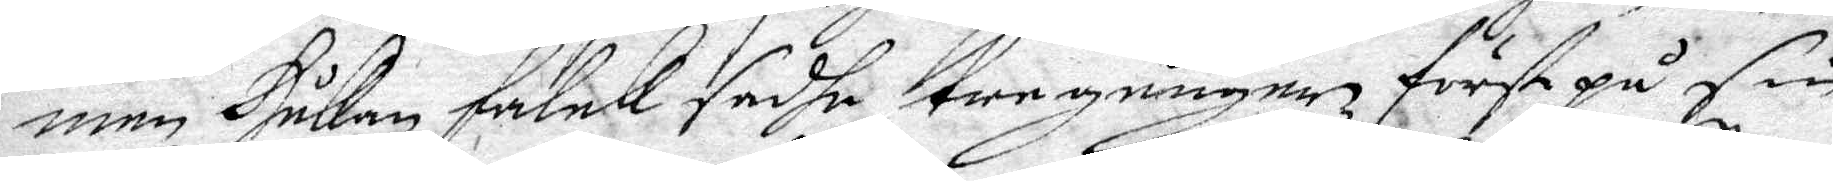men Håkan Falck sadhe tre gånger fört på sin
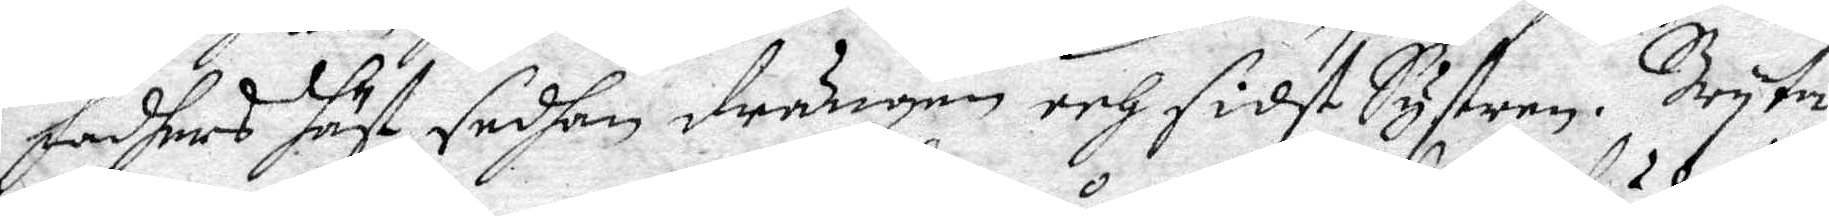fadhers häst, sedhan drängen och sidst Systren. Bryta
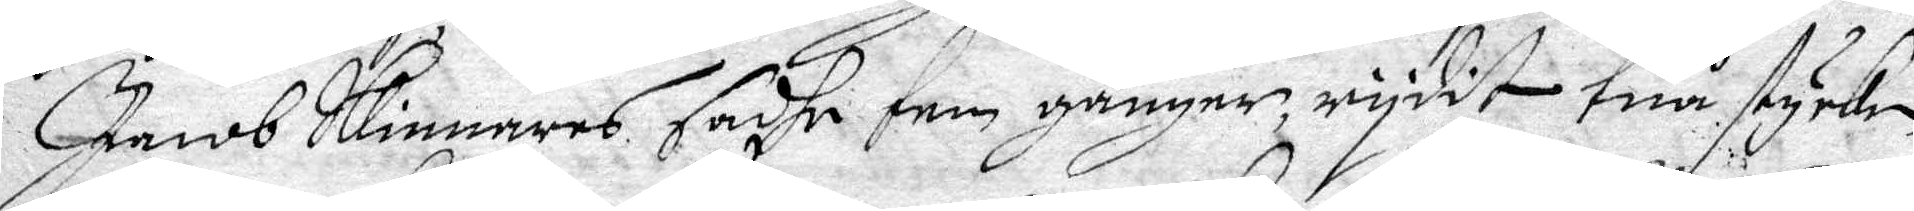Jacob Skinnars sadhe fem gånger, rydit twå stycken
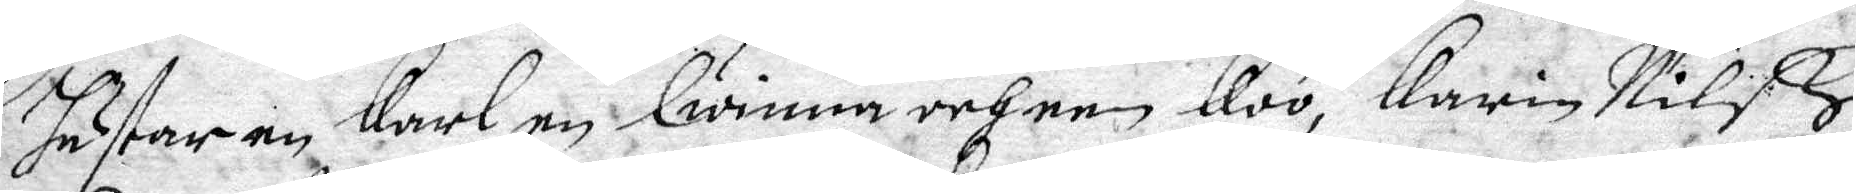hästar, en Karl, en Qwinna och en Koo, Karin Nilß
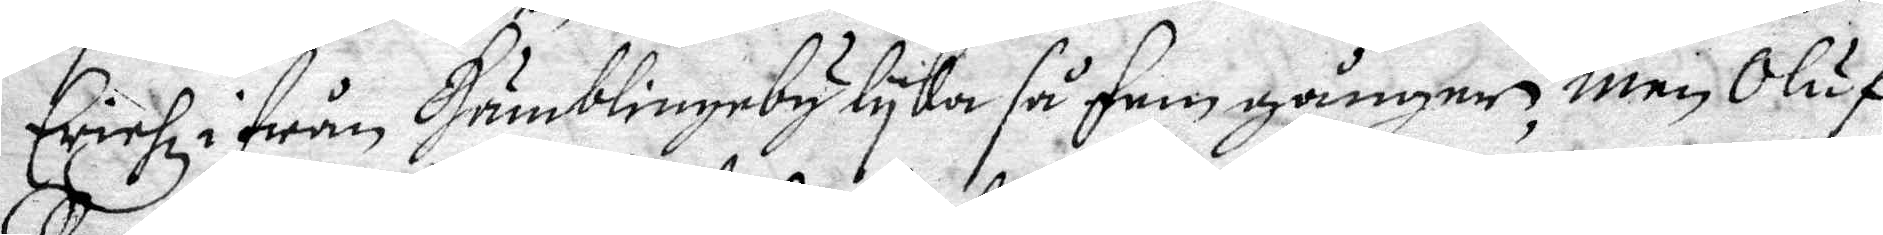Erichz i från Humblineby lyka så fem gånger, men Oluf
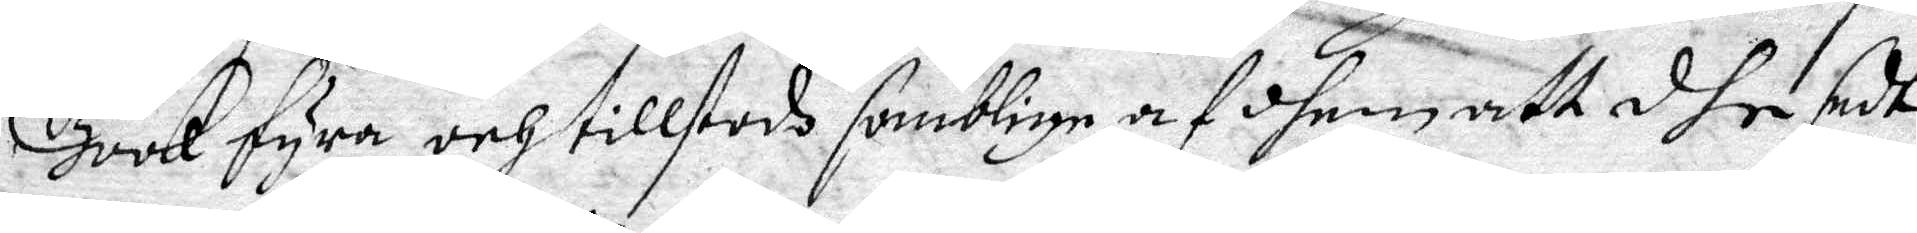Book fyra och tillstodh somblige af dhem att dhe sedt
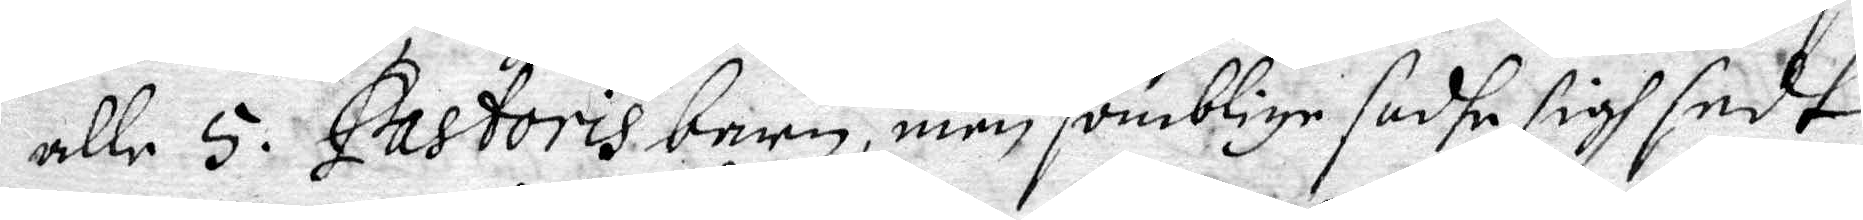alle 5 Pastoris barn, men somblige sadhe sigh sedt
